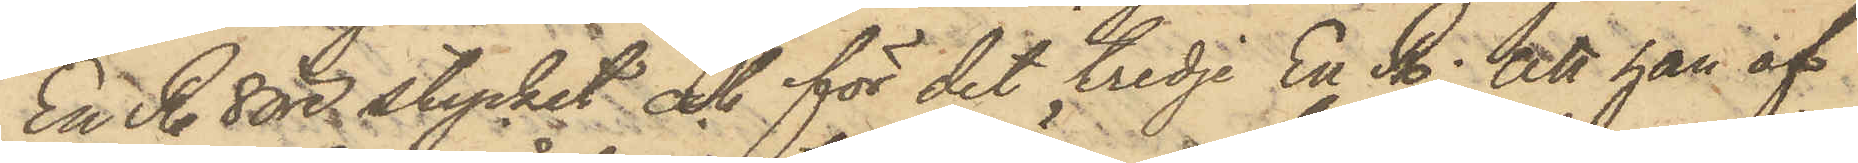En R. 8 öre stycket och för det tredje En R.; att han af
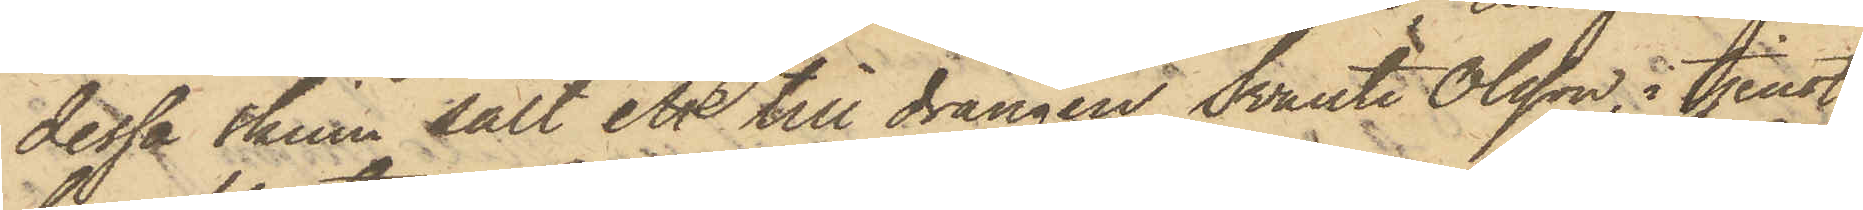dessa skinn sålt ett till drängen Svante Olsson, i tjenst
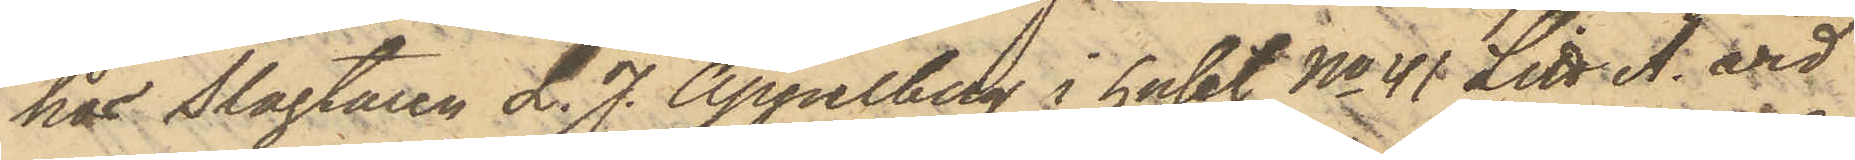hos Slagtaren L. J. Appelberg i huset No 41 Litt. A. vid
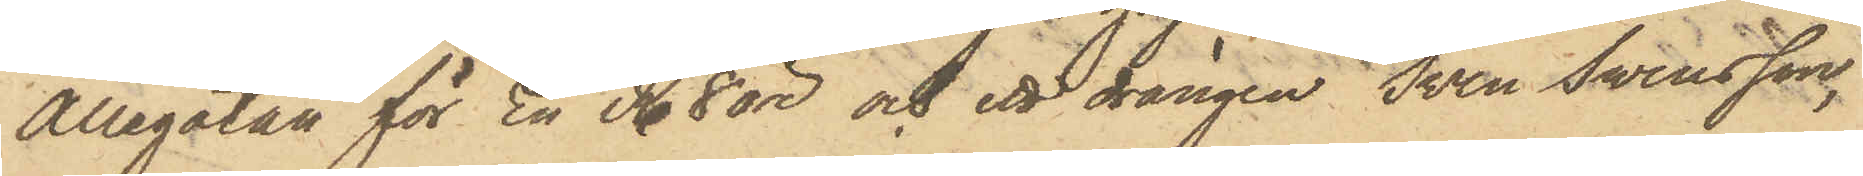Allegatan för En R. 8 öre och ett drängen Sven Swensson,
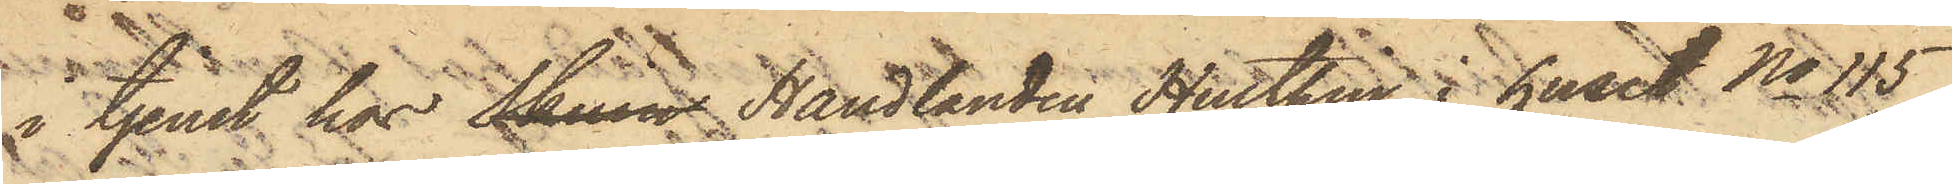i tjenst hos Skinn Handlanden Hulthin i huset No 115
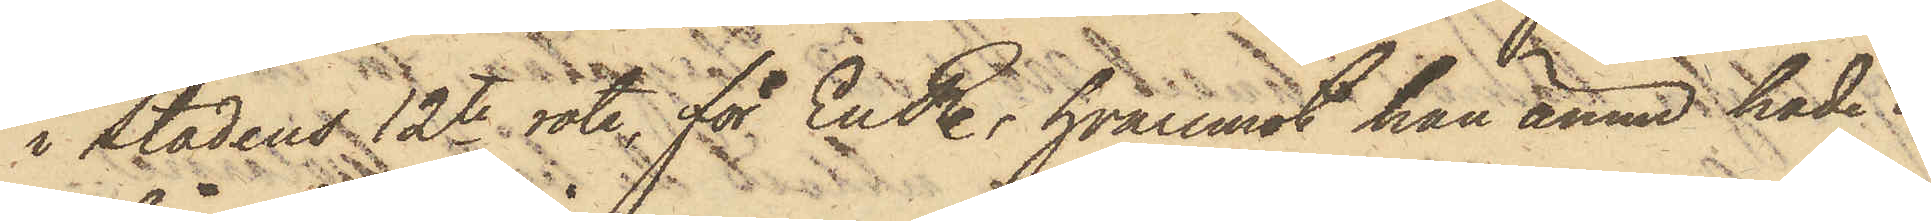i Stadens 12te rote för En R., hvaremot han ännu hade i
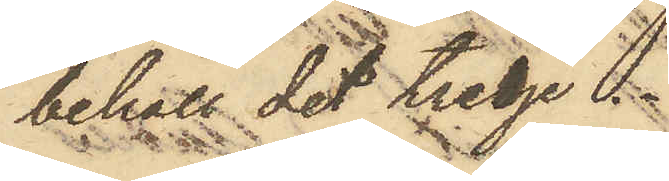behåll det tredje.
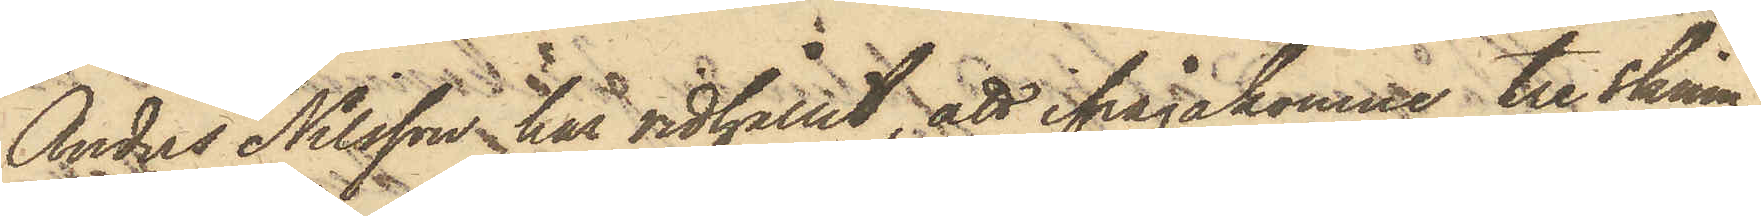Anders Nilsson har vidhållit, att ifrågakomne tre skinn,
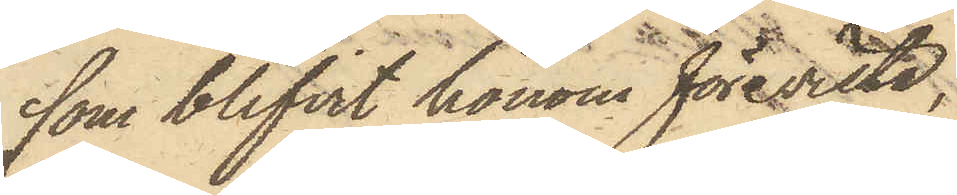som blifvit honom förevista,
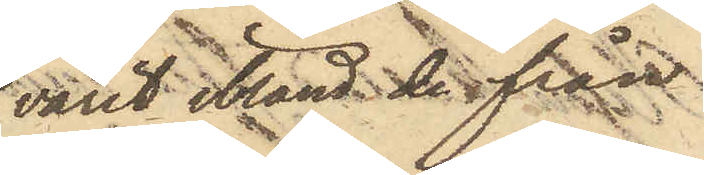varit ibland de från
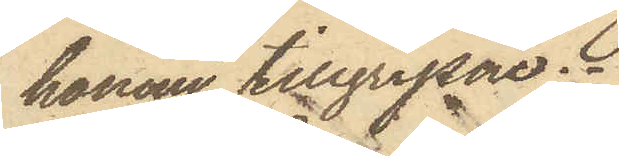honom tillgripne.
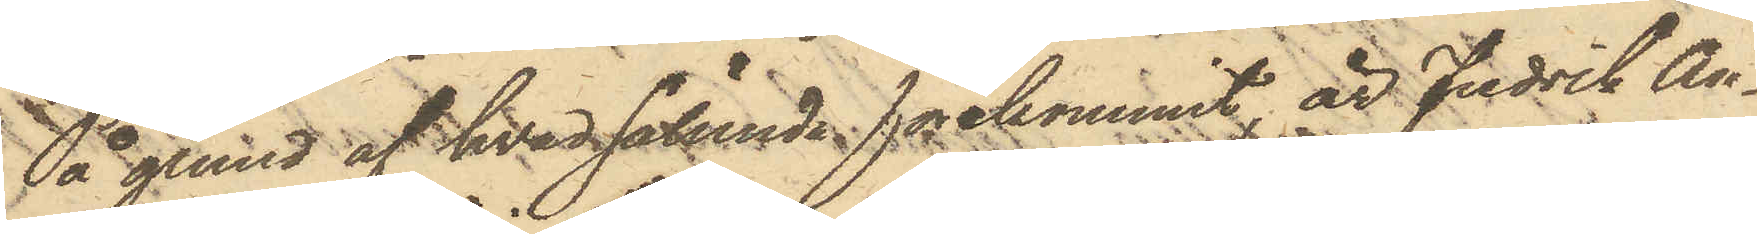På grund af hvad sålunda förekommit är Fredrik An¬
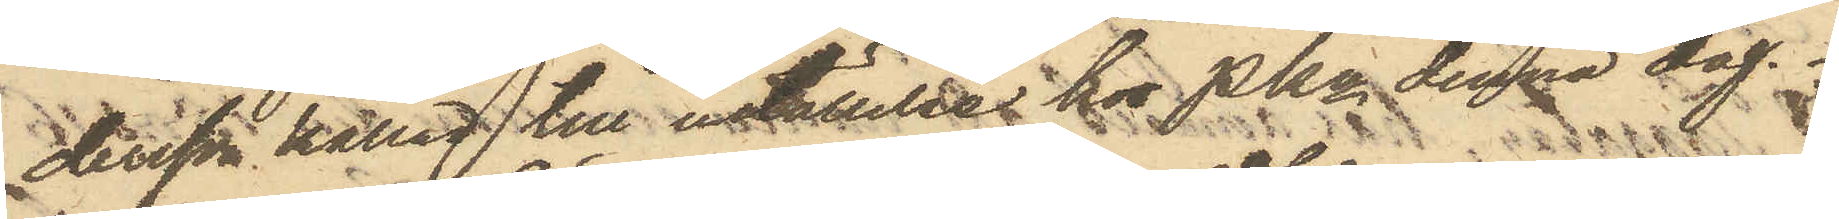dersson kallad till inställelse hos Pkn denna dag.
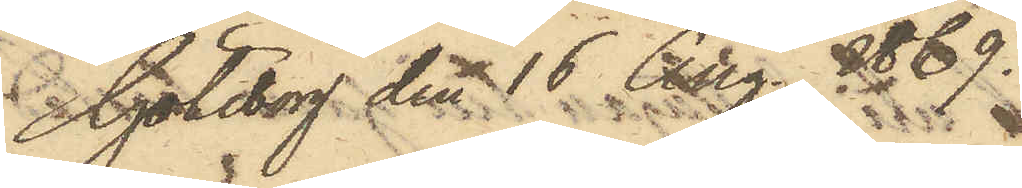Göteborg den 16 Aug. 1869.
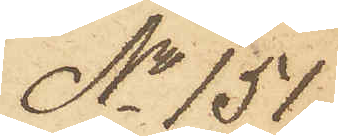No 151.
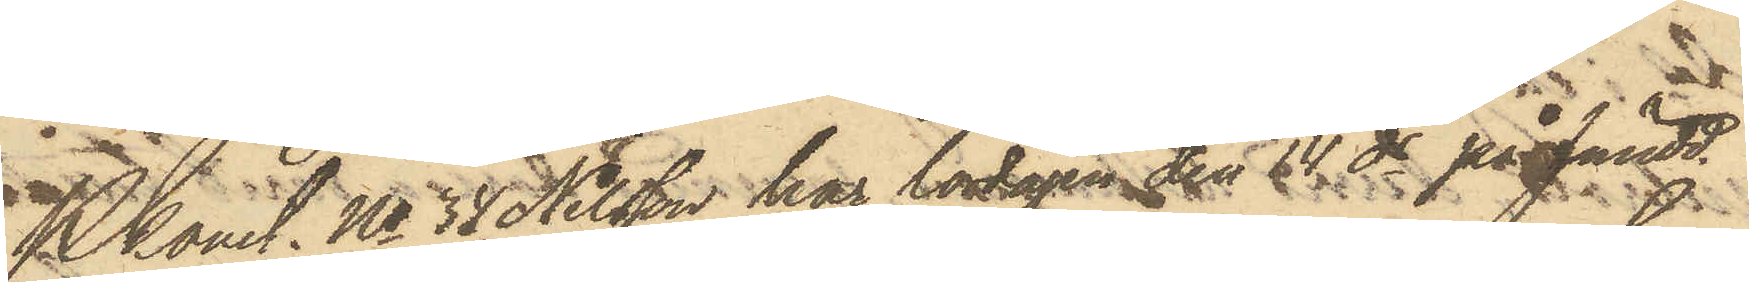Pkonst No 34 Nilsson har lördagen den 14 ds på fmidd.
